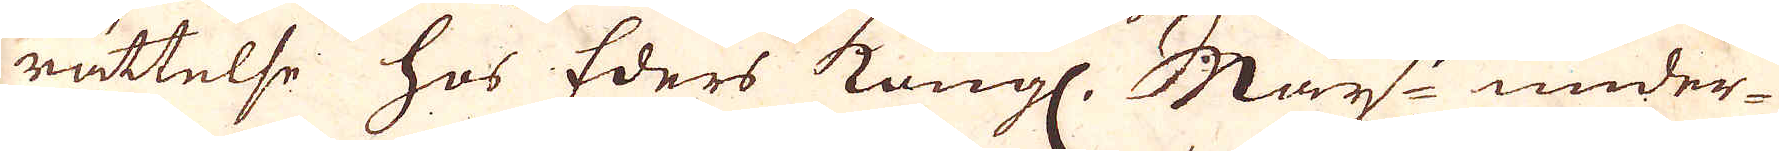rättelse hos Eders Kungl. May:t under-
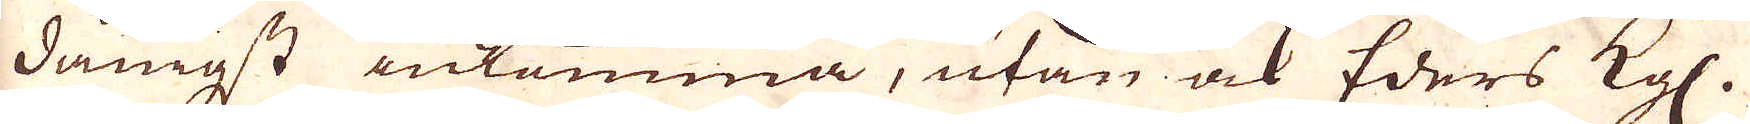dånigst inkomma, utan och Eders Kgl.
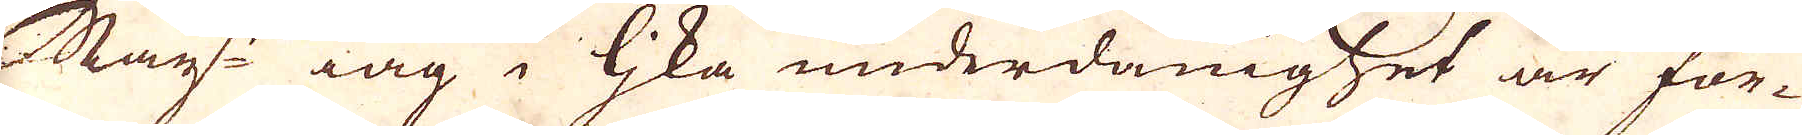May:t iag i lika underdånighet är för-
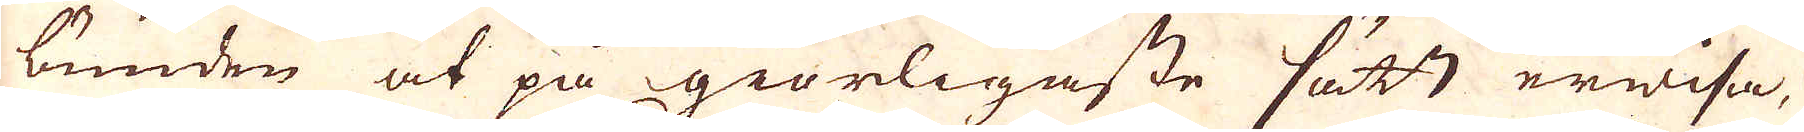bunden at på giörligaste sätt erwisa,
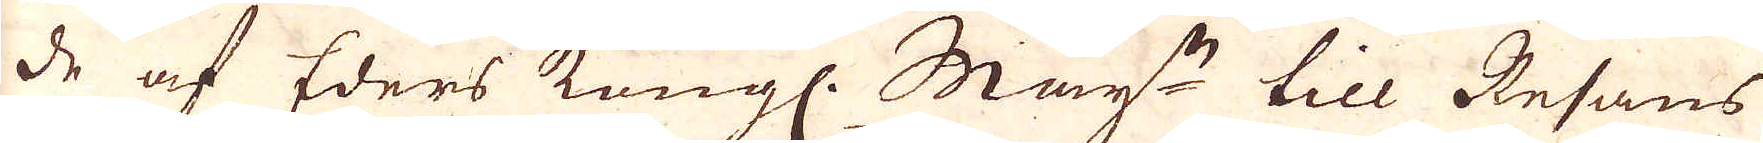de af Eders Kungl. May:t till Resans
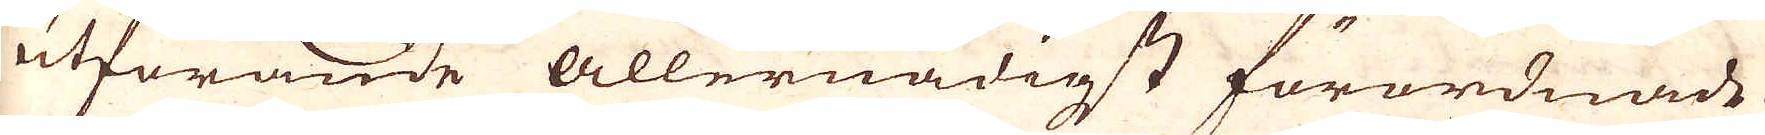utförande Allernådigst förordnade
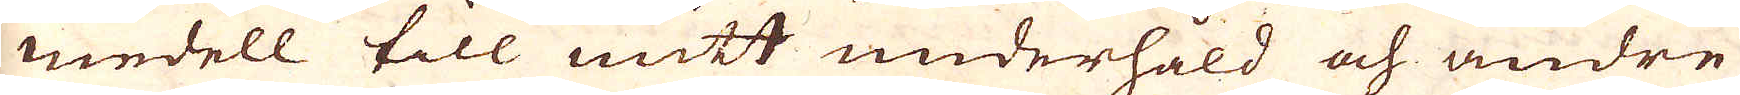medell till mitt underhåld och andre
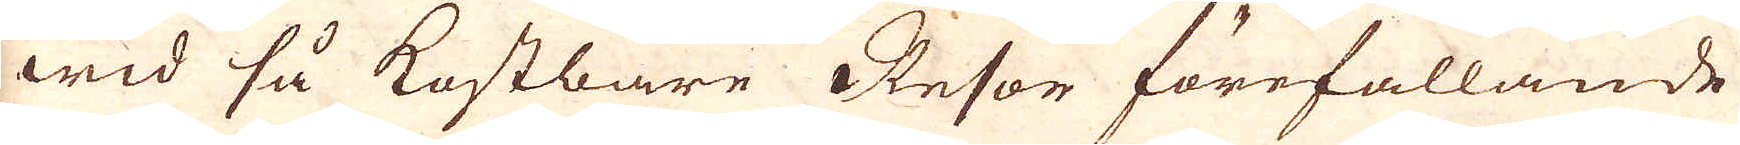wid så kostbare Resor förefallande
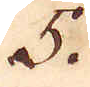5
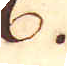6
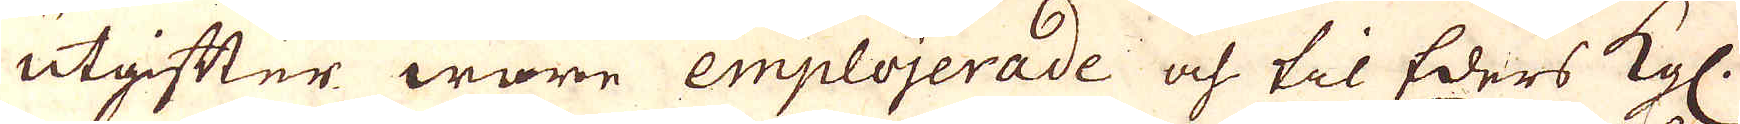utgifter wore emplojerade och til Eders Kgl.
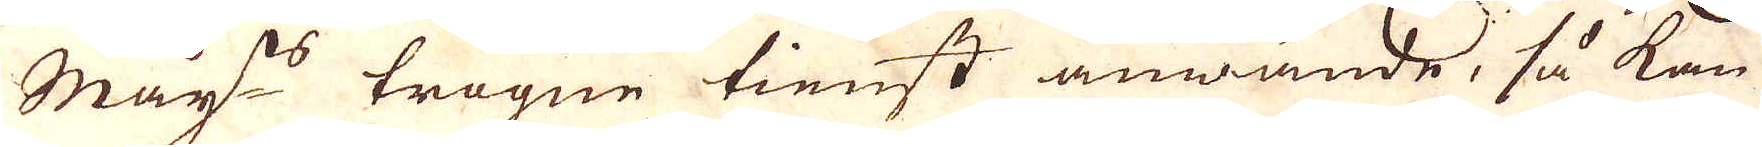May:ts trogne tiest anwände, så kan
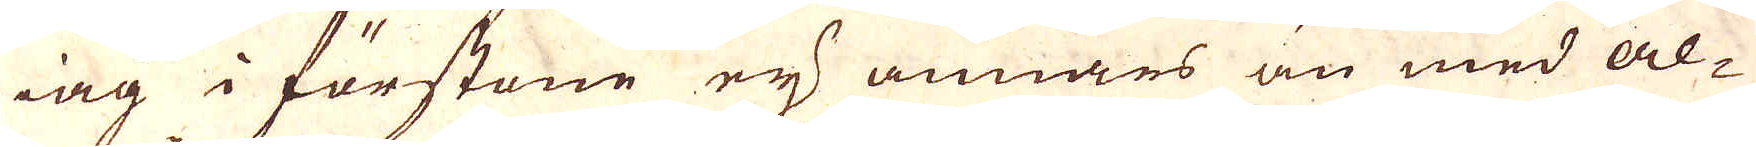iag i förstene ey annars än med al-
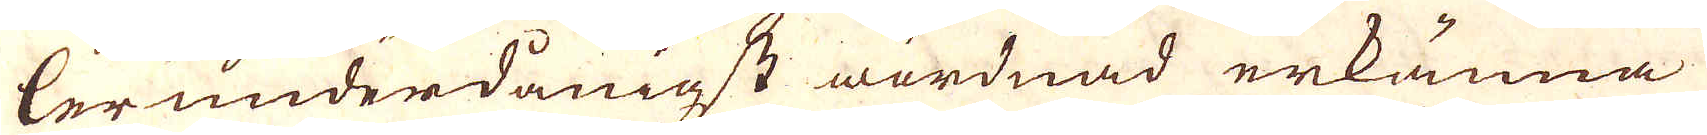lerunderdånigst wördnad erkänna.
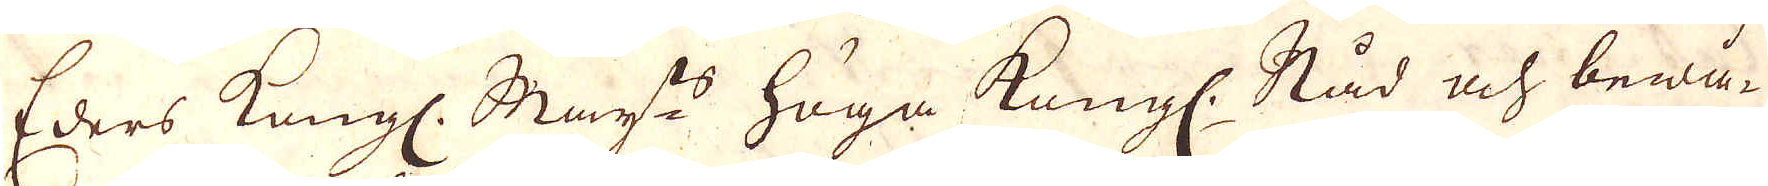Eders Kungl:. May:ts höga Kungl. Råd och bewå-
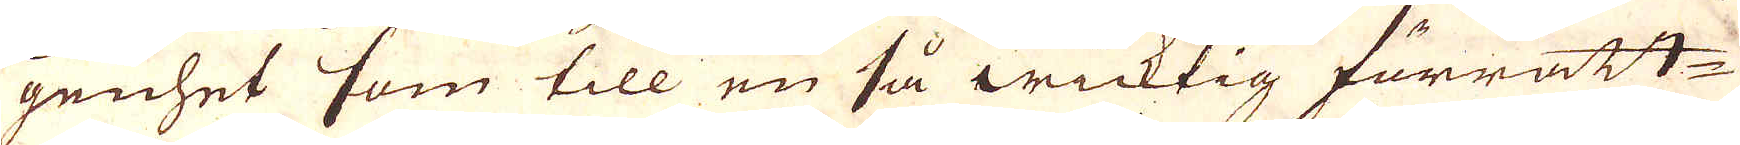genhet som till en så wicktig förrätt-
